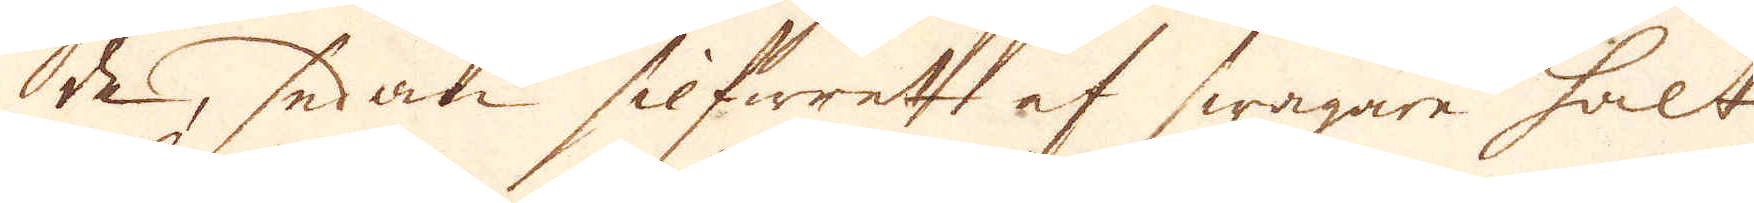de, sedan silfwret af swagare halt
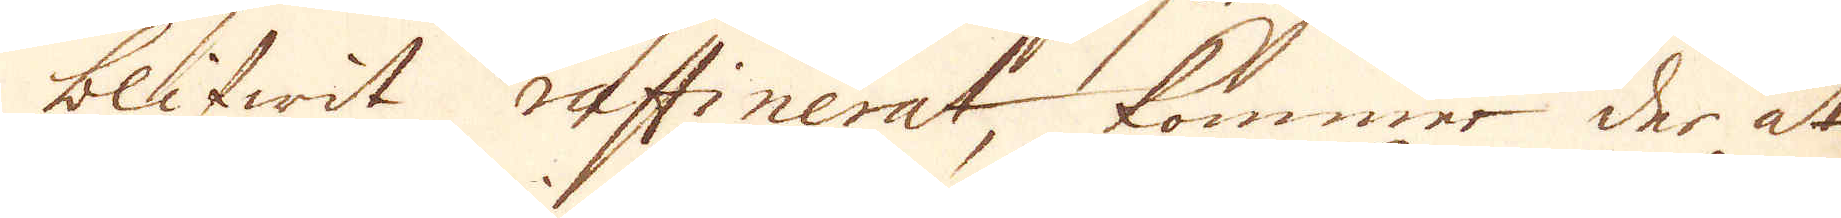blifwit raffinerat, kommer der at
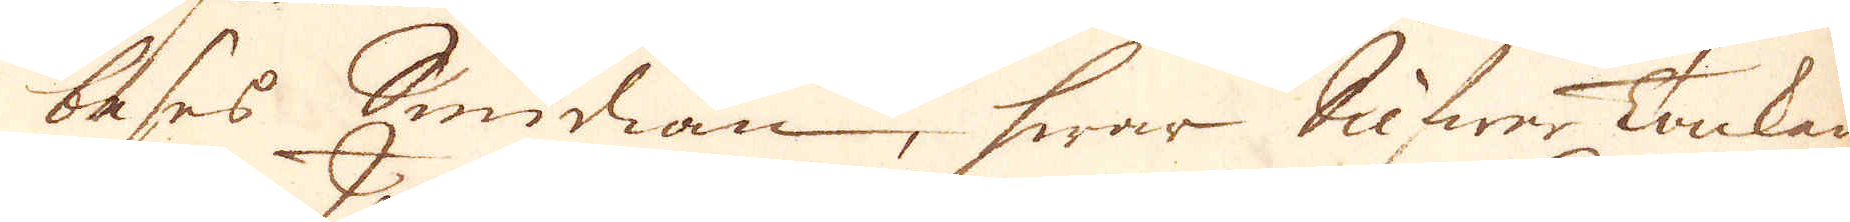beses Smidian, hwar Silfwer Tackan
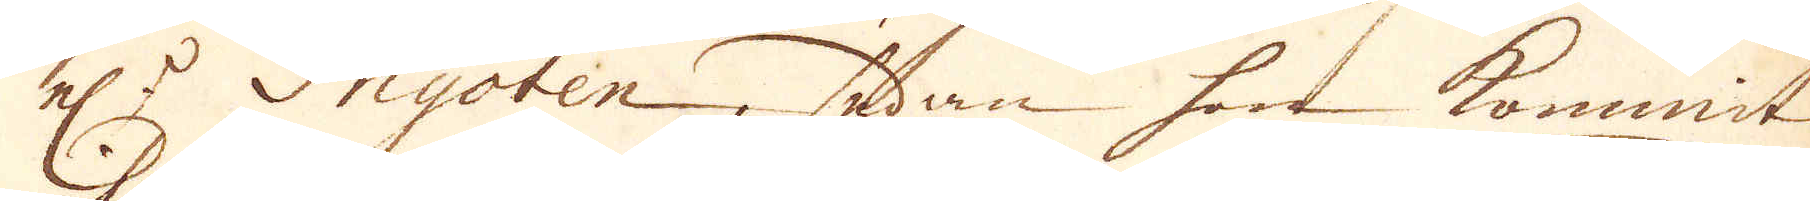el:r Ingoten, sedan hon kommit
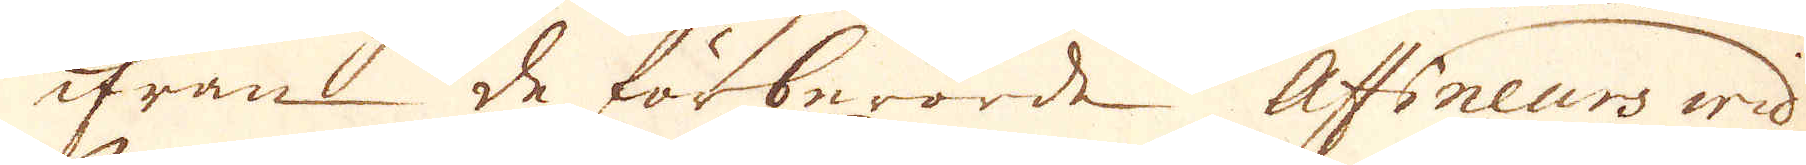ifrån de förberörde Affineurs wid
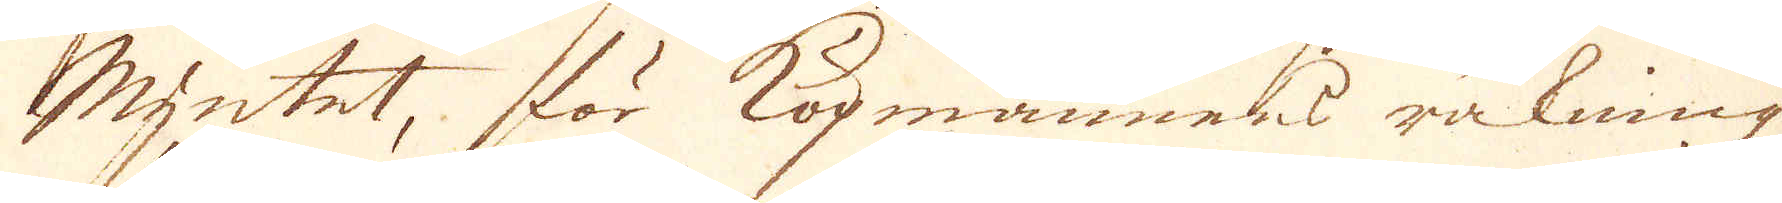Myntet, för köpmannens räkning
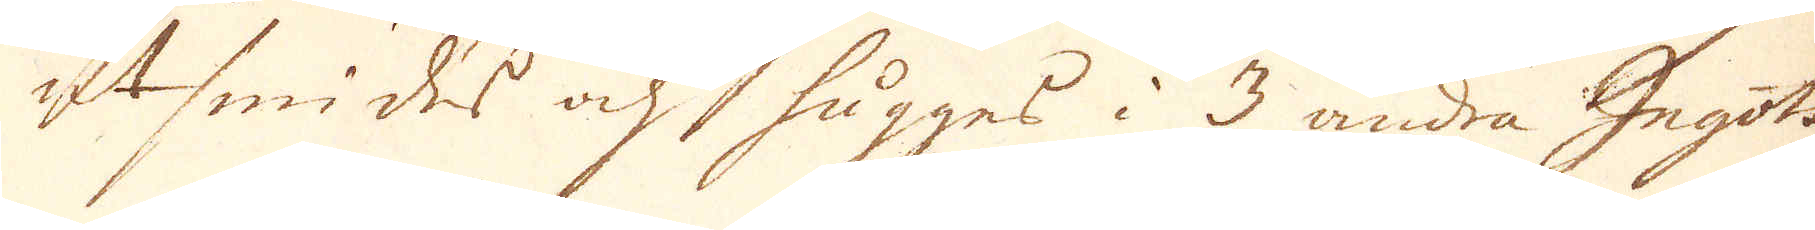utsmides och hugges i 3 andra Ingots
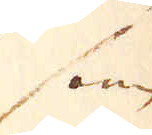som
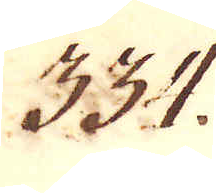334.
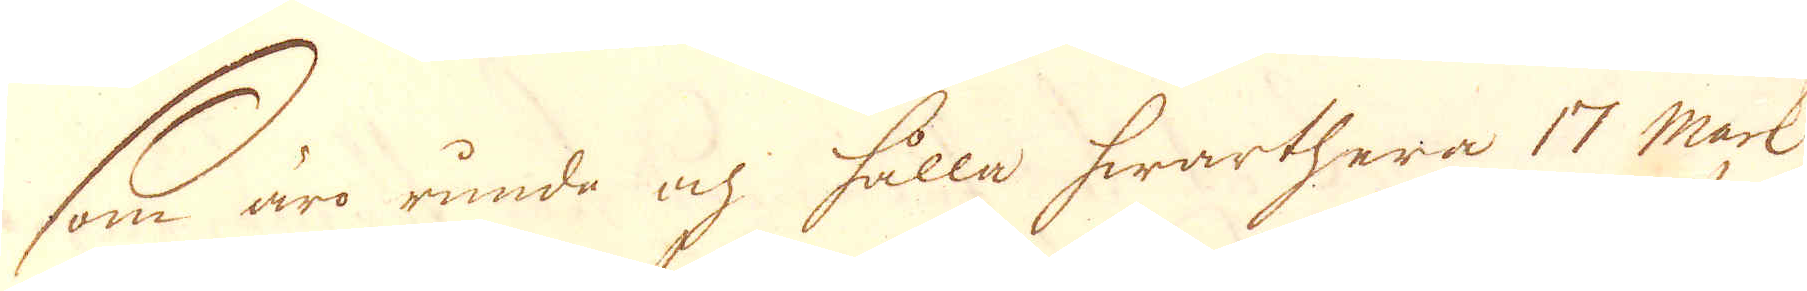som äro runda och hålla hwarthera 17 Mark
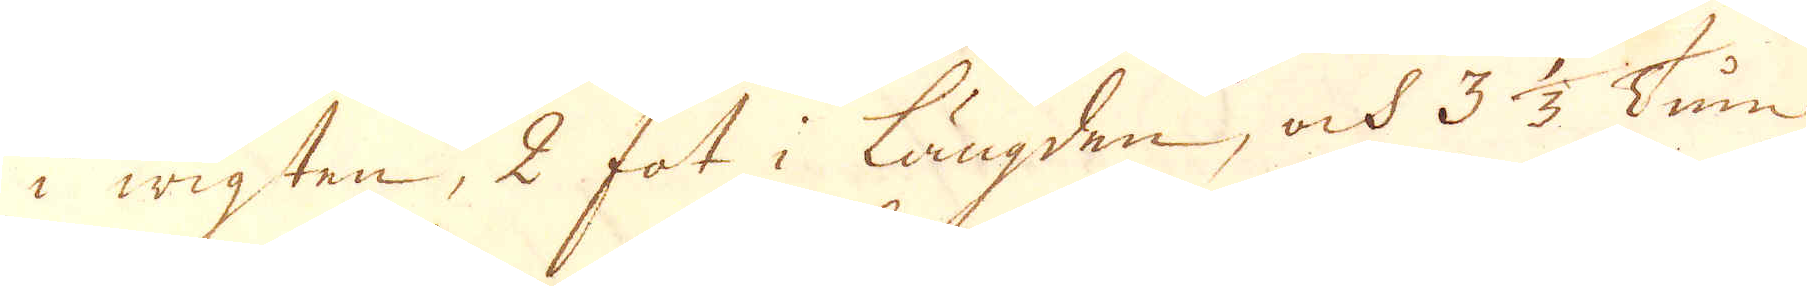i wigten, 2 fot i längden, och 3 1/3 Tum
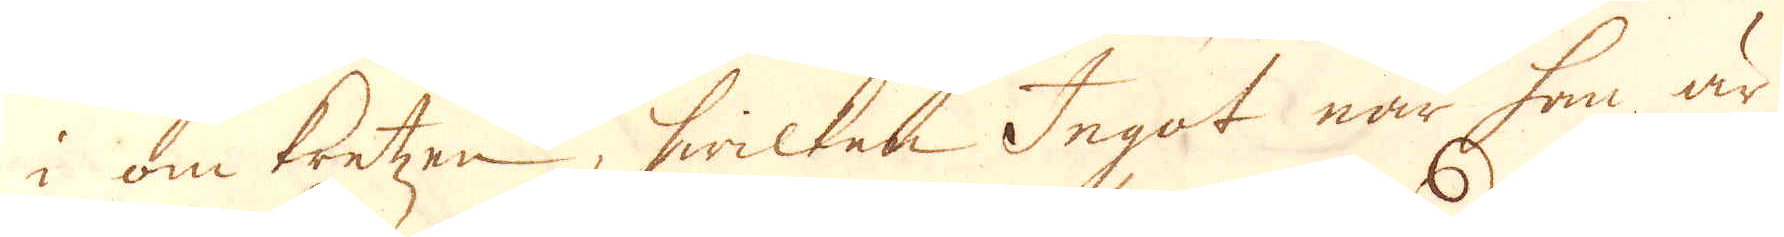i omkretzen, hwilken Ingot när han är
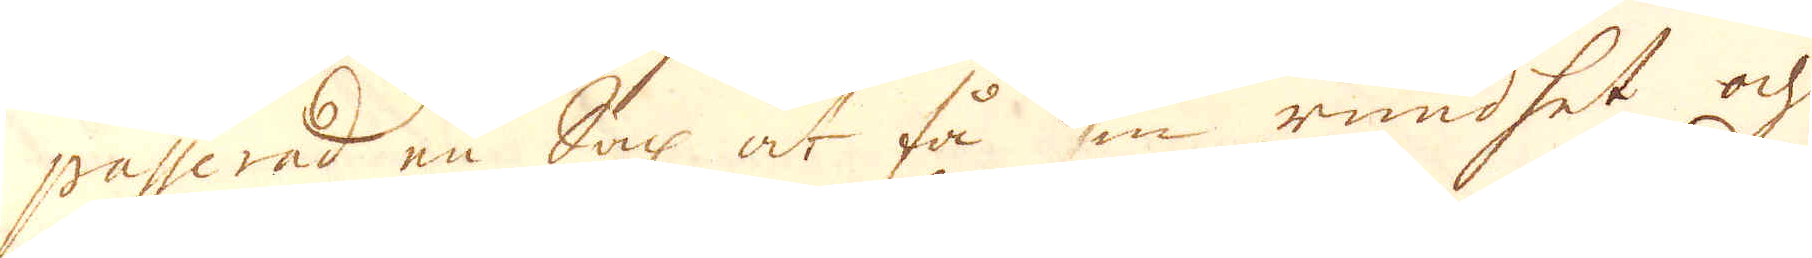passerad en Sax at få sin rundhet och
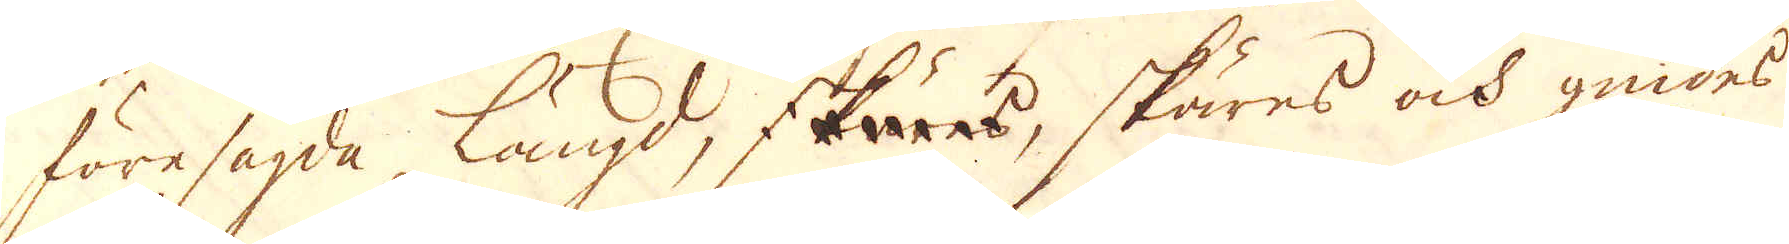föresagda längd, skäres, skäres ock gnides
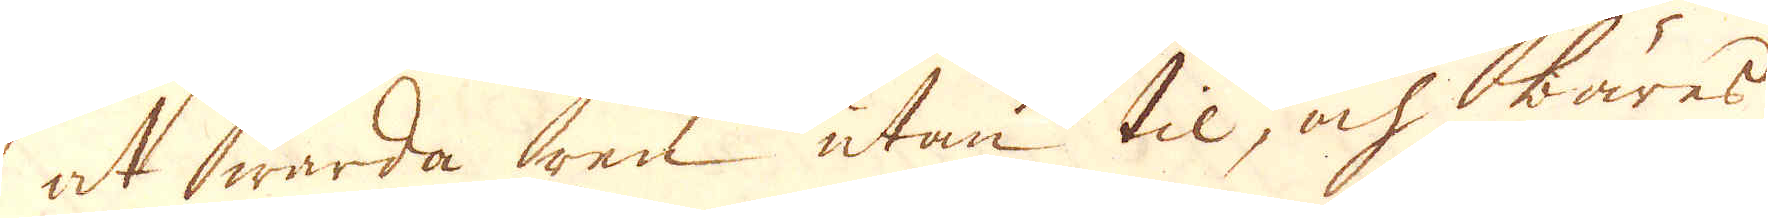at warda ren utan til, och bäres
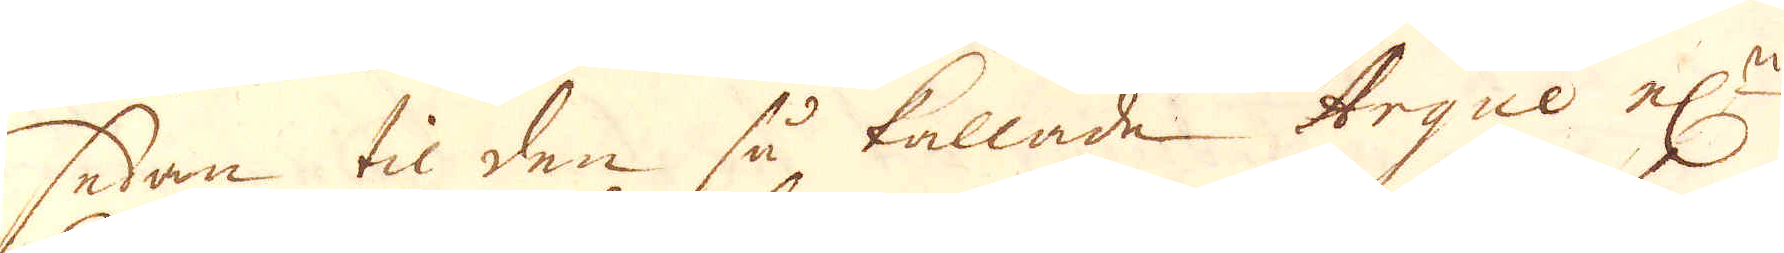sedan til den så kallade Arque el:r
